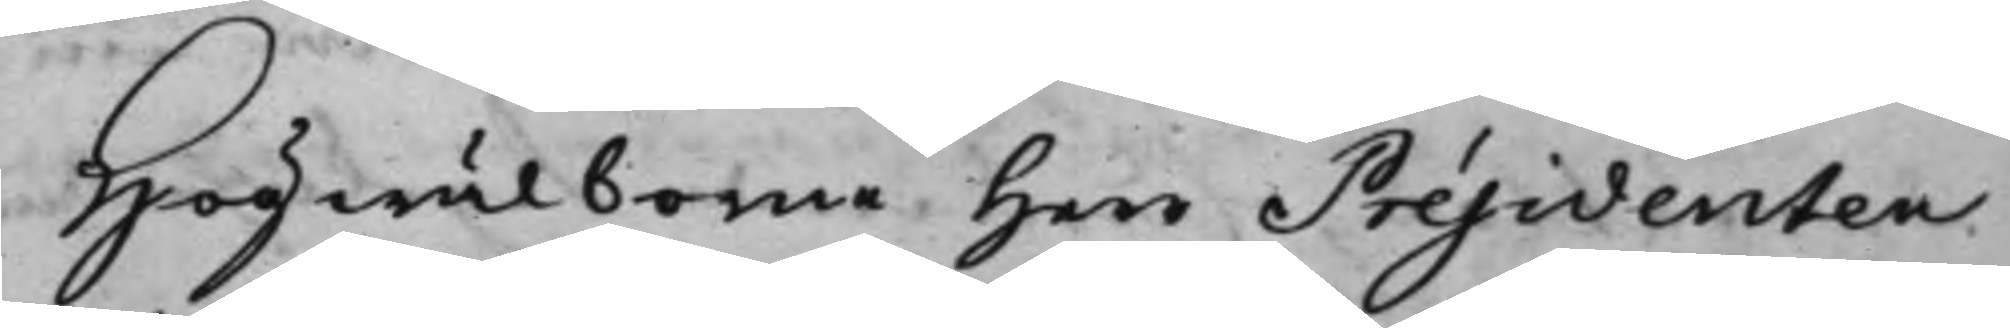Högwälborne Herr Présidenten
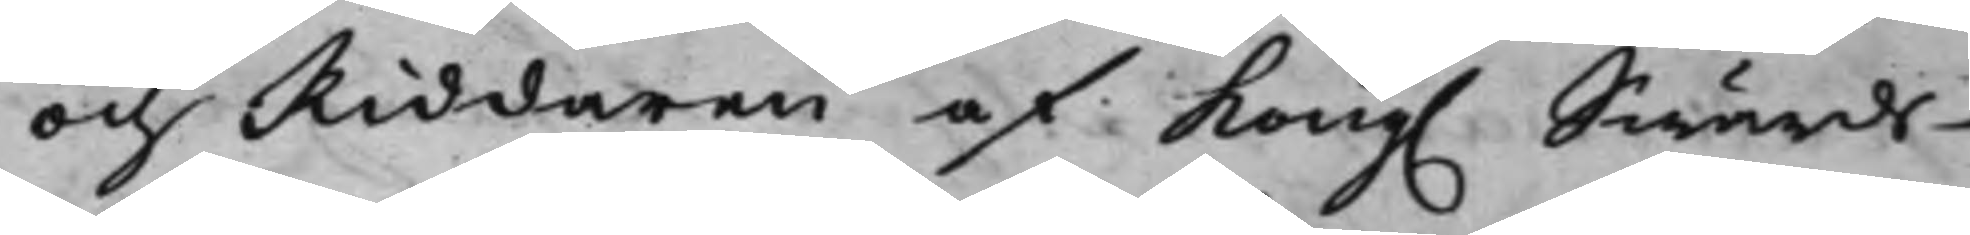och Riddaren af Kong. Swärds¬ 
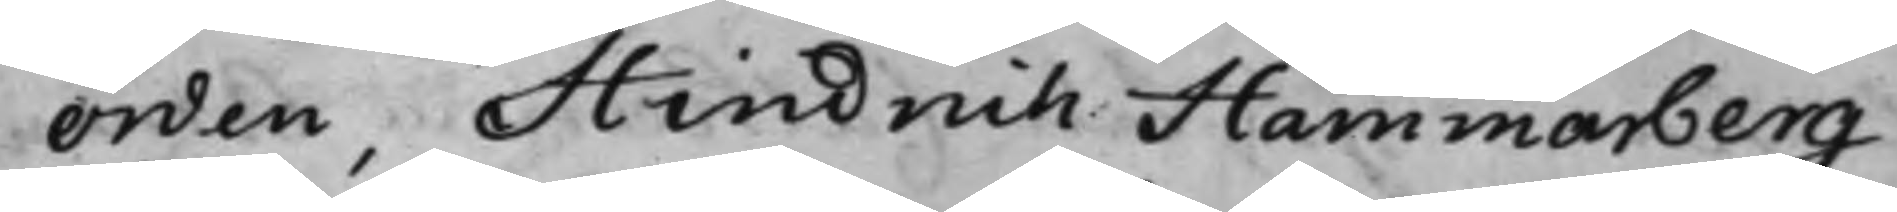orden, Hindrich Hammarberg
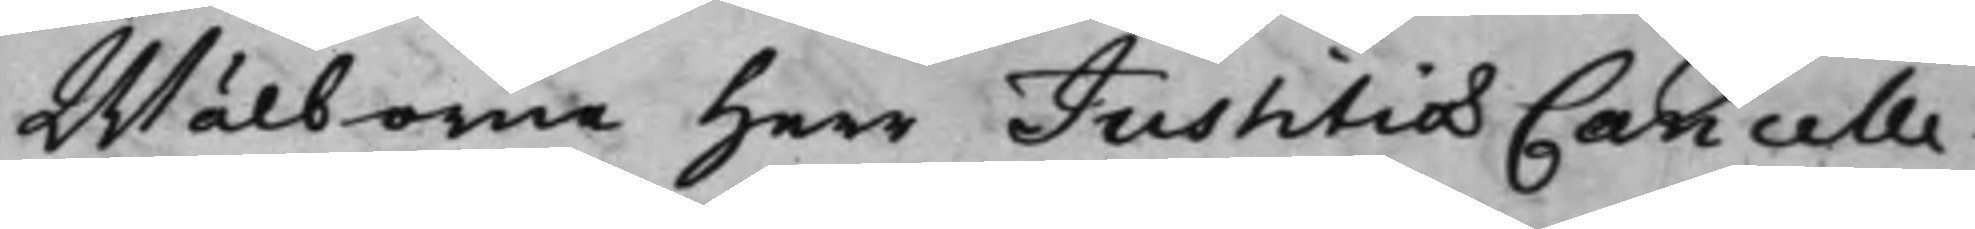Wälborne Herr Justitiæ Cancelle¬
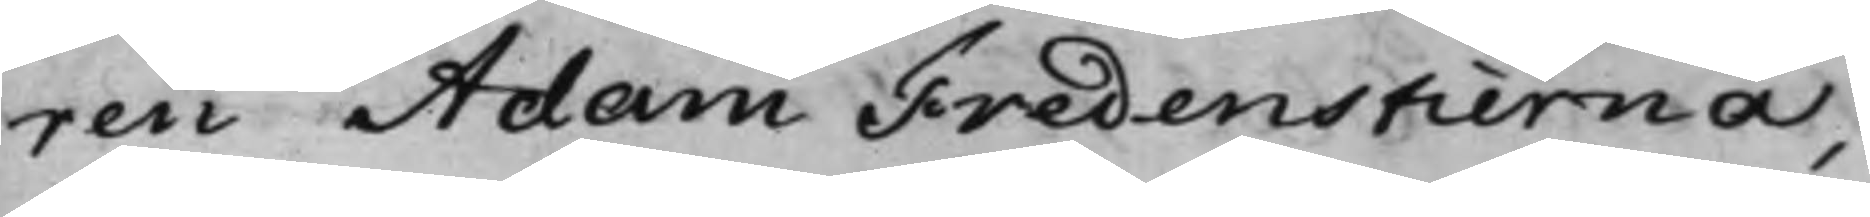ren Adam Fredenstierna,
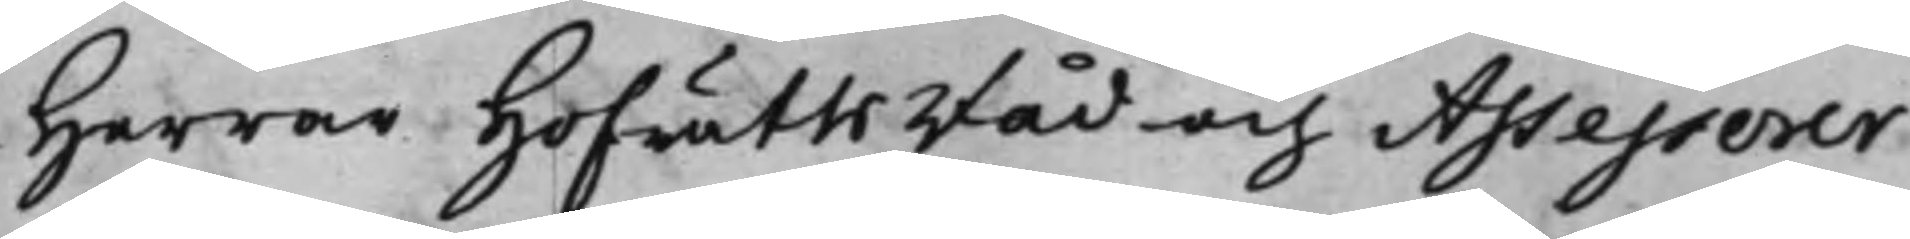Herrar HofrättsRåd och Assessorer
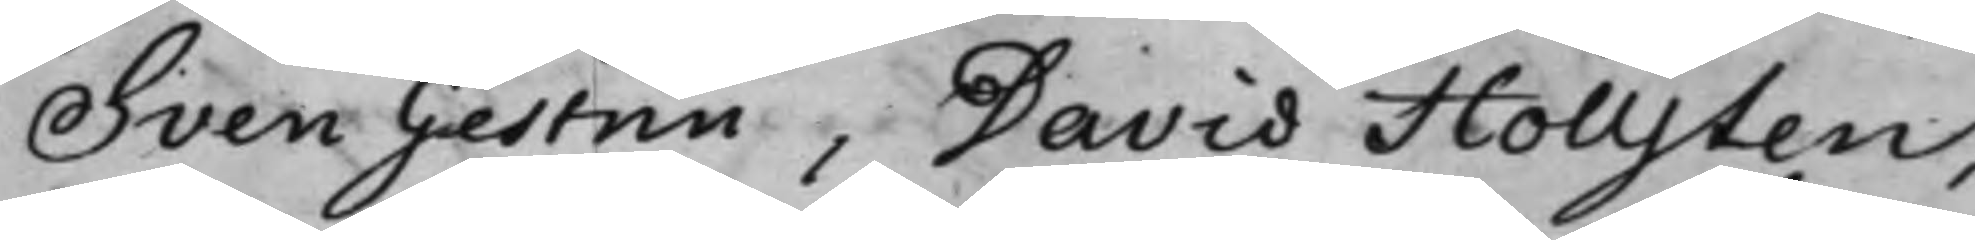Sven Gestrin, David Hollsten,
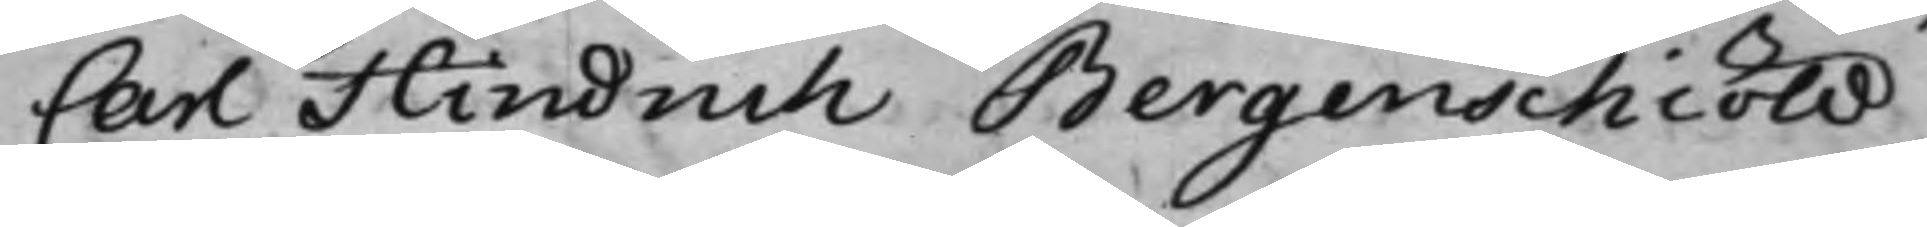Carl Hindrich Bergenschiöld,
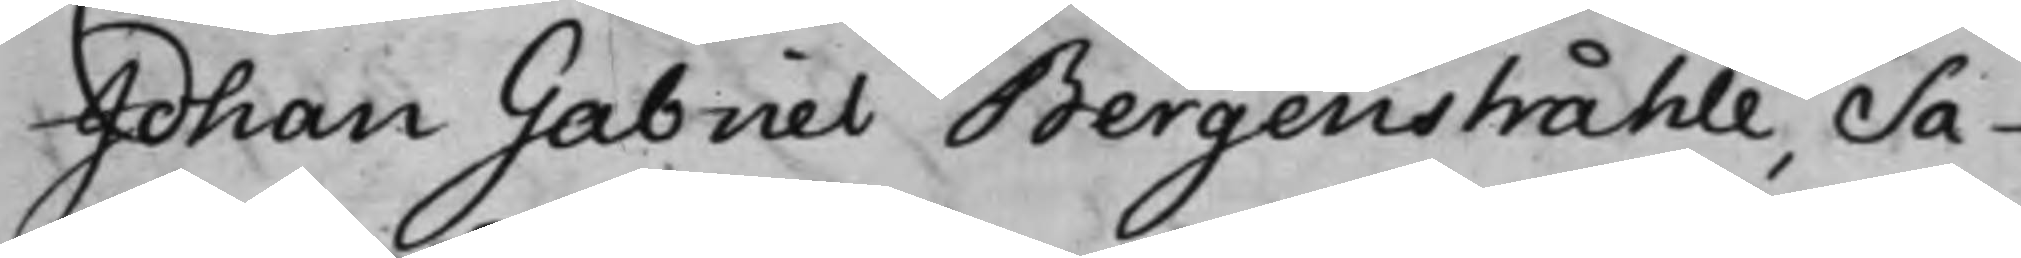Johan Gabriel Bergenstråhle, Sa¬
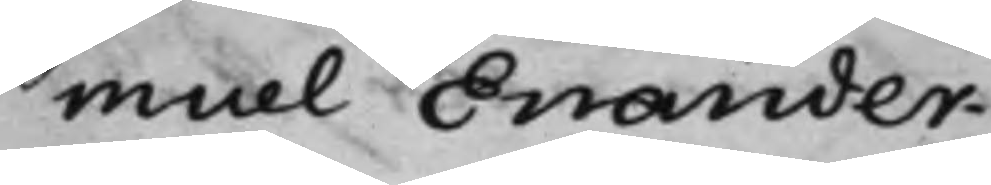muel Enander.
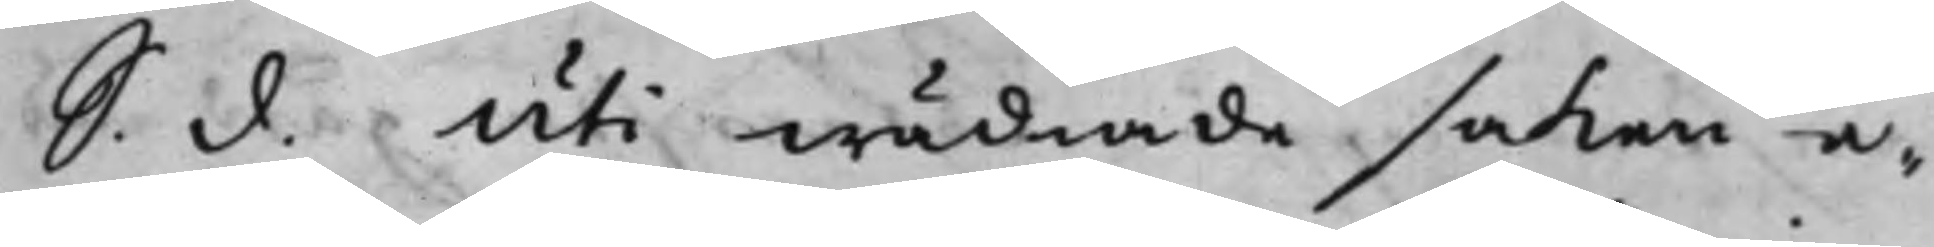S: d: Uti wädiade saken e¬ 
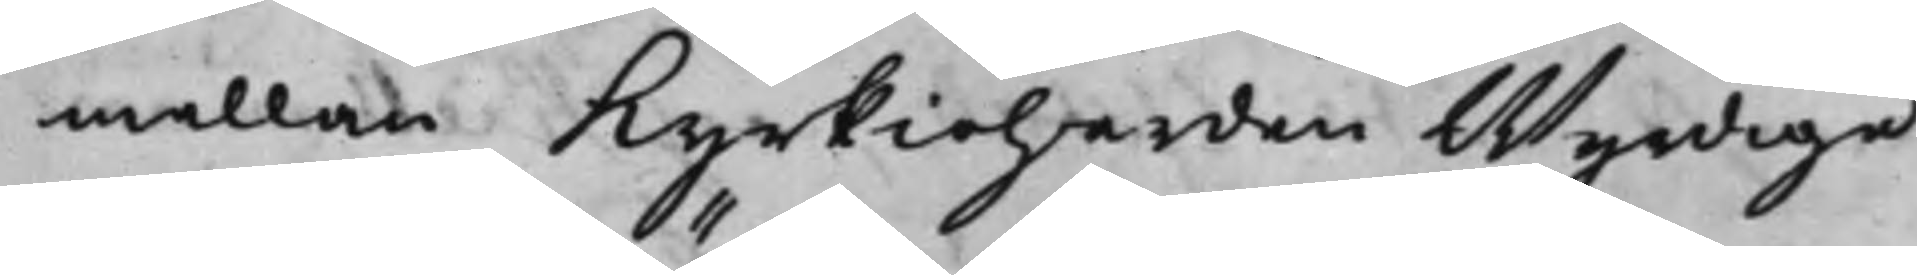mellan Kyrkioherden Wyrdige
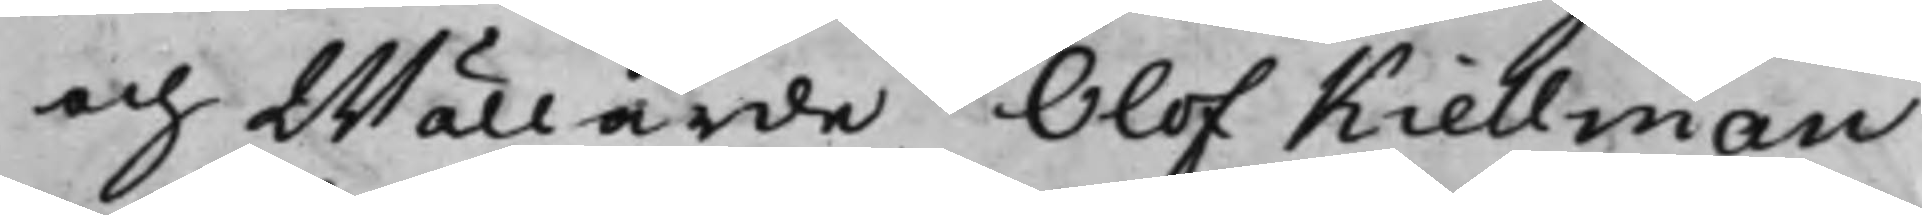och Wällärde Olof Kiellman
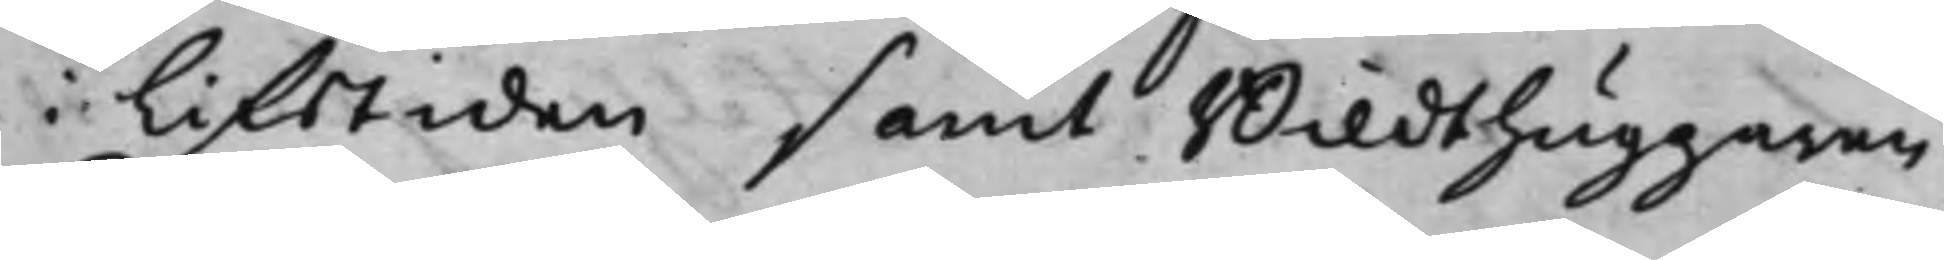i Lifstiden samt Bildthuggaren
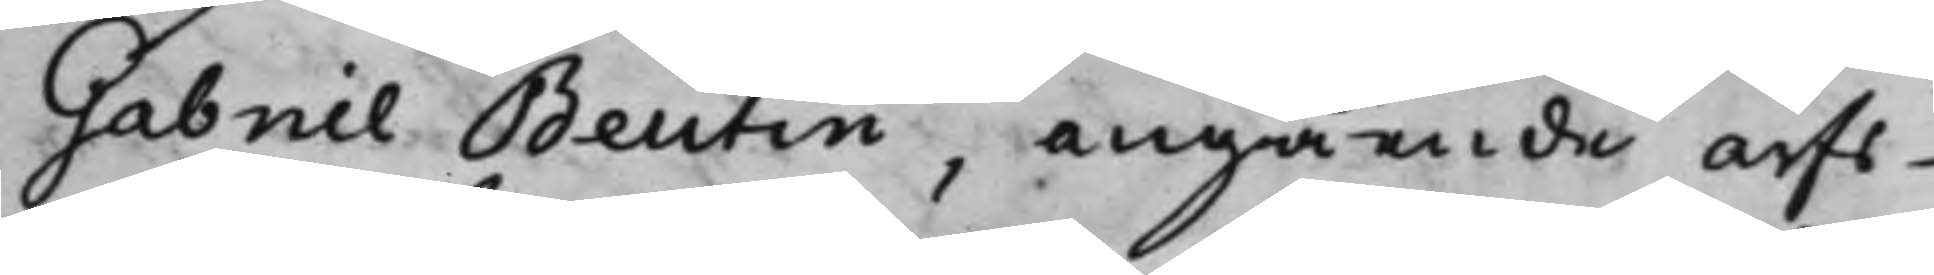Gabriel Beutin, angående arfs¬
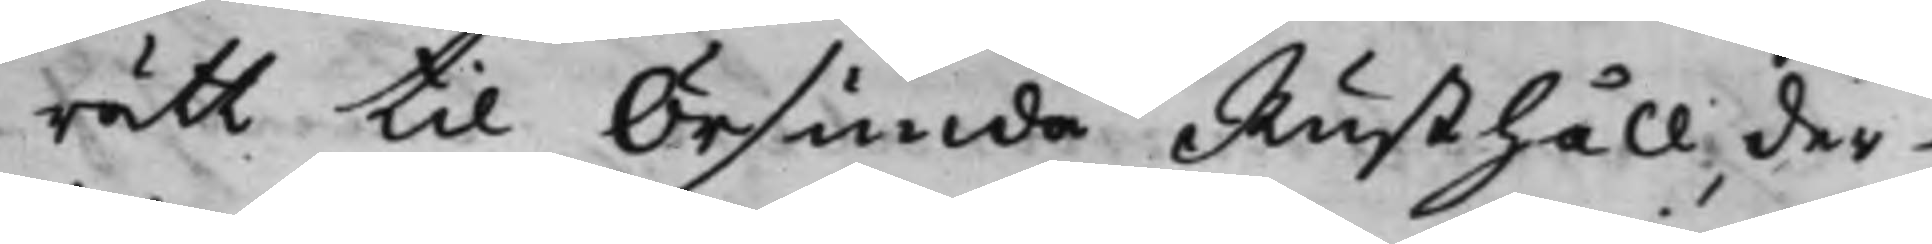rätt til Örsunda Rusthåll, der¬
